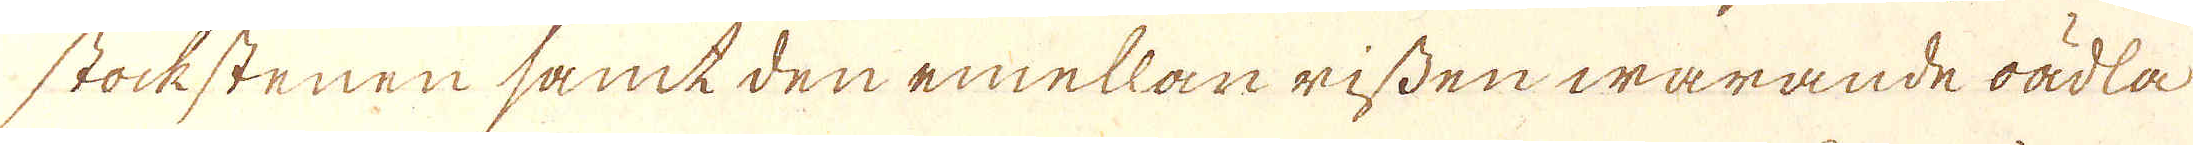stockstenen samt den emellan rissen warande oädla
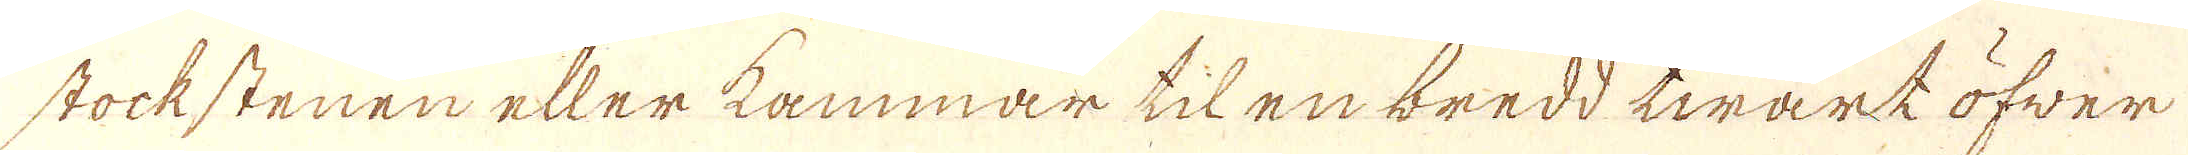stockstenen eller kammar til en bredd twärk öfwer
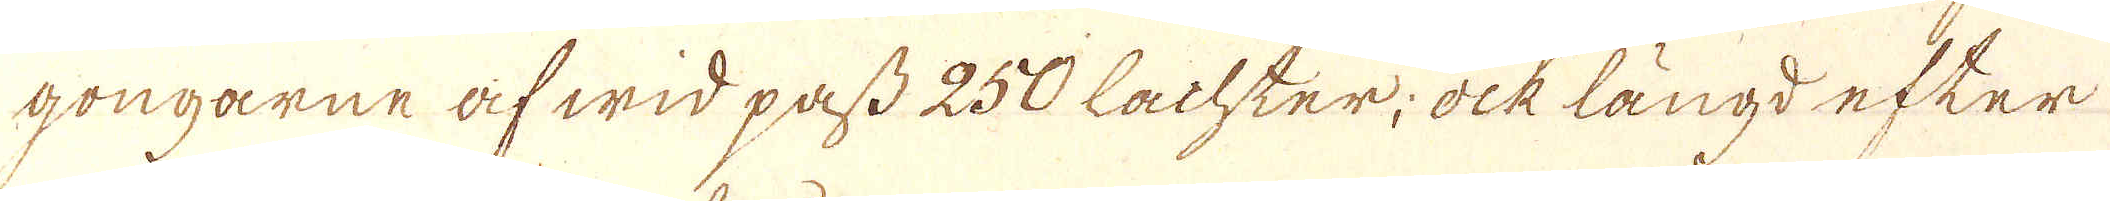gongarne af wid pass 250 Lachter; ock längd efter
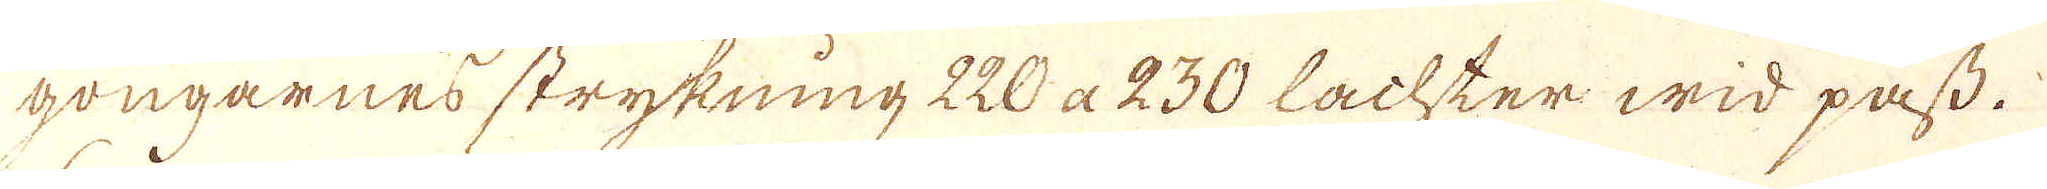gongarnes strykning 220 a 230 Lachter wid pass.
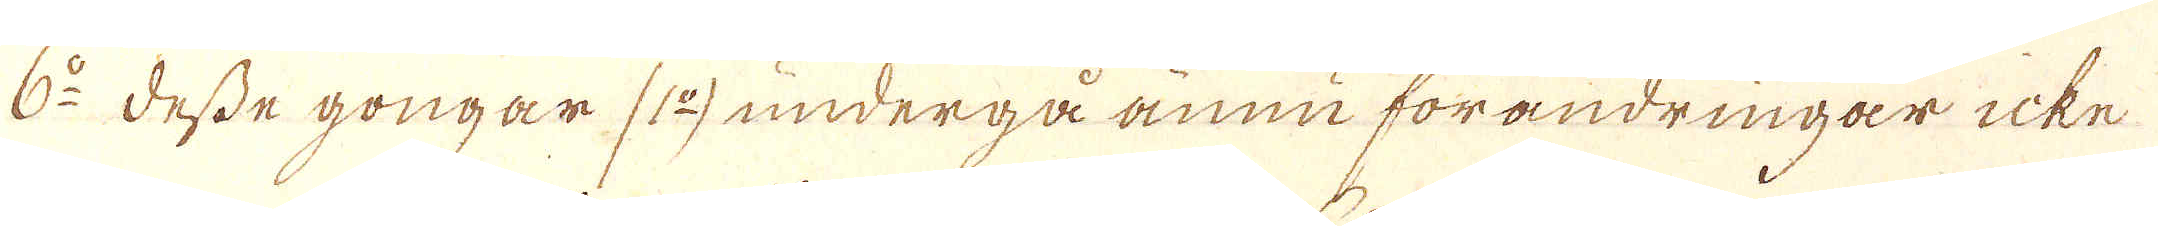6:o Desse gongar (1:o) undergå ännu förandringar icke
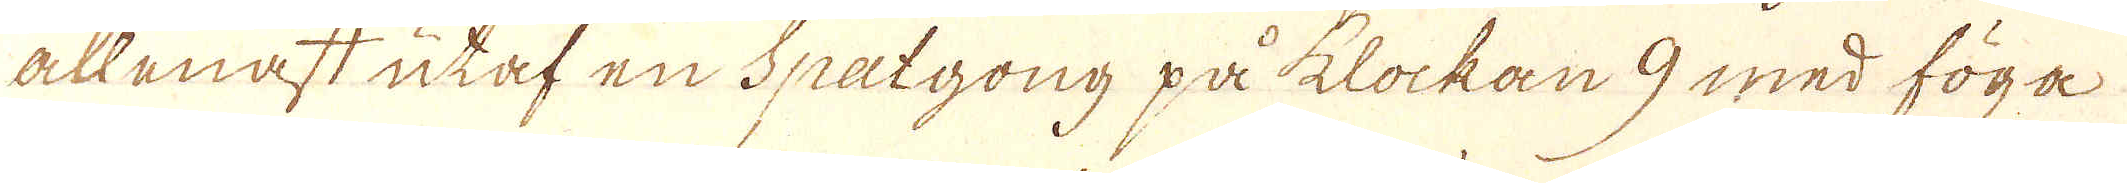allenast utaf en Spatgong på klockan 9 med föga
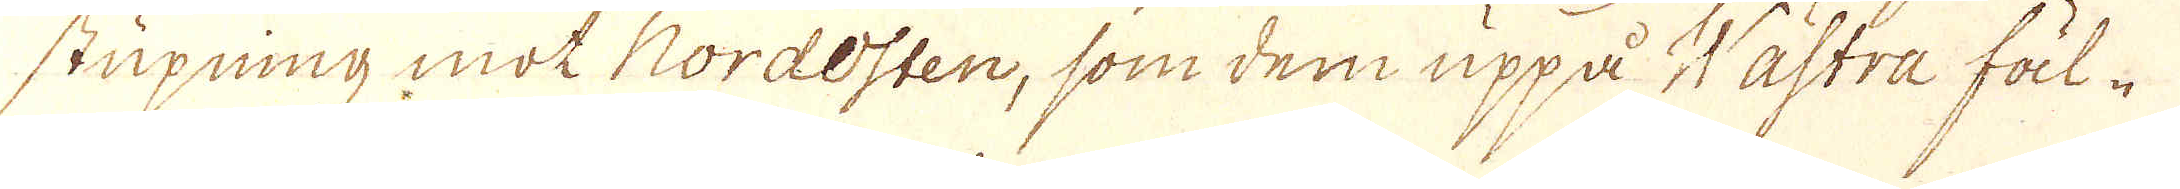stupning mot Nordosten, som dem uppå Wästra fäl-
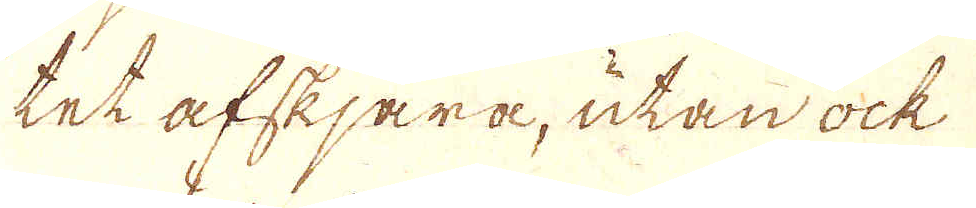tet afskjära, utan ock
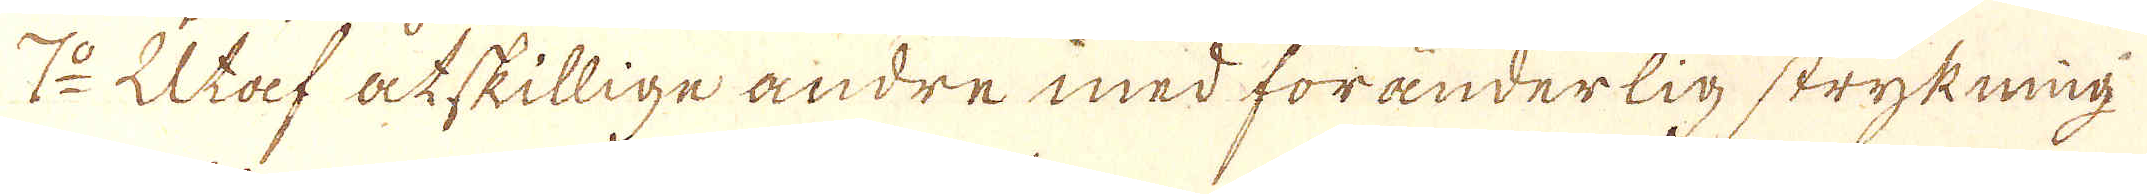7:o Utaf åtskillige andre med föränderlig strykning
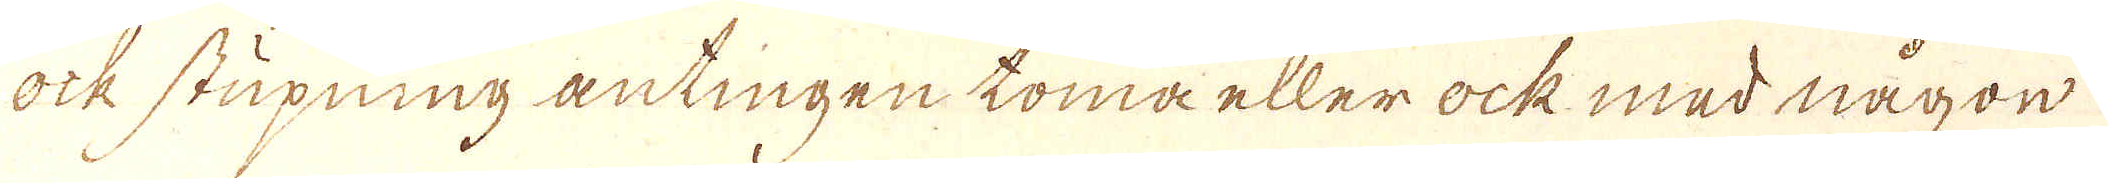ock stupning antingen toma eller ock med någon
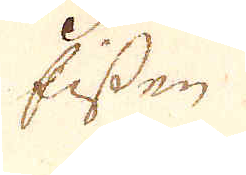Eissen
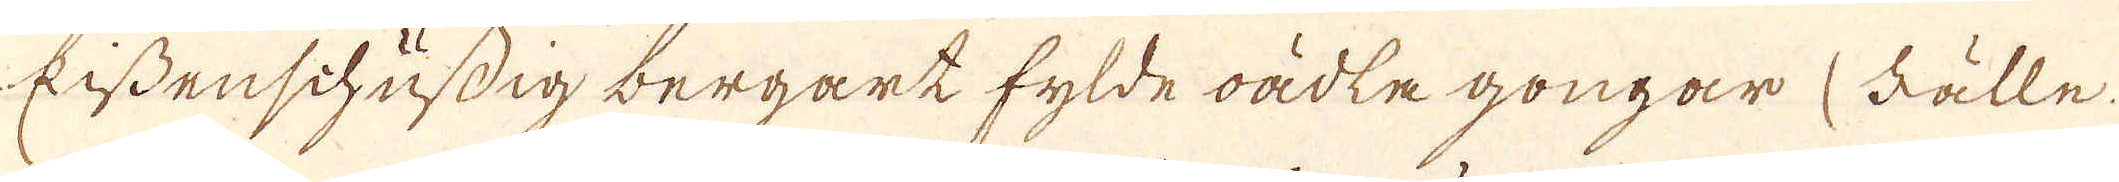Eissenschufdig bergart fylde oädle gongar (källe.
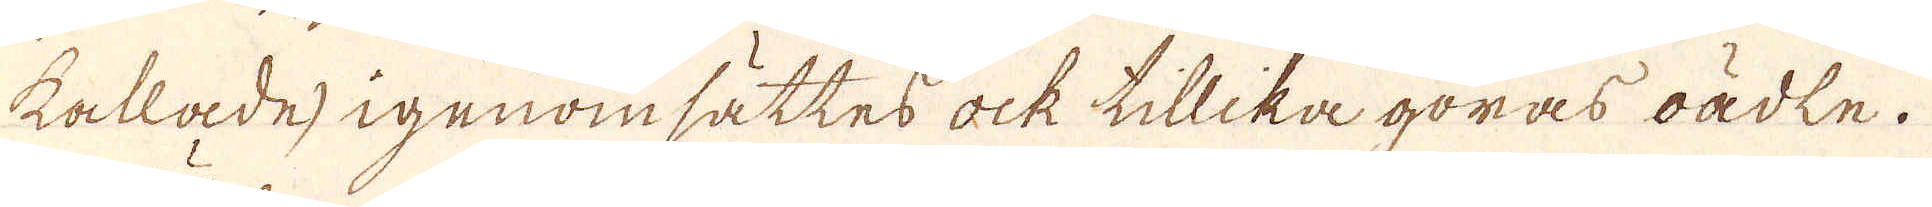kallade) igenomsättes ock tillika göras oädle.
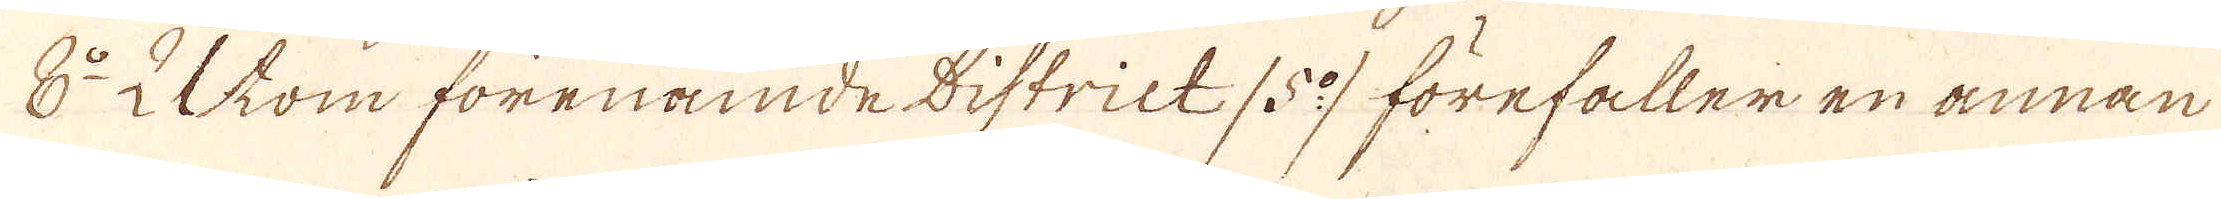8:o Utom förenämde District /5:o/ förefaller en annan
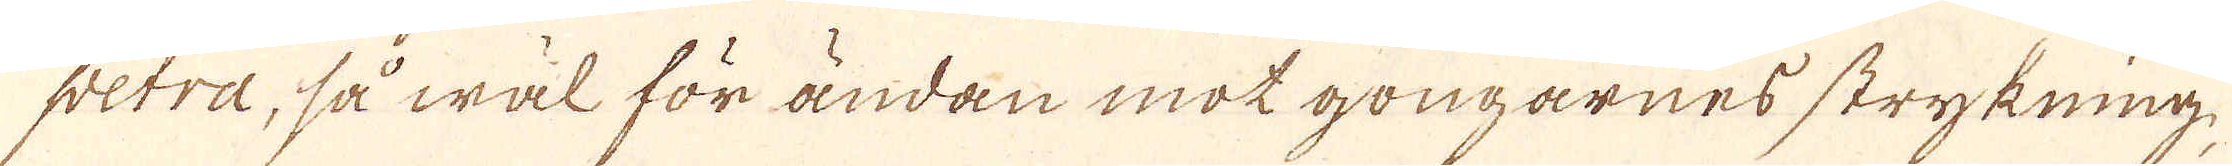petra, så wäl för ändan mot gongarnes strykning,
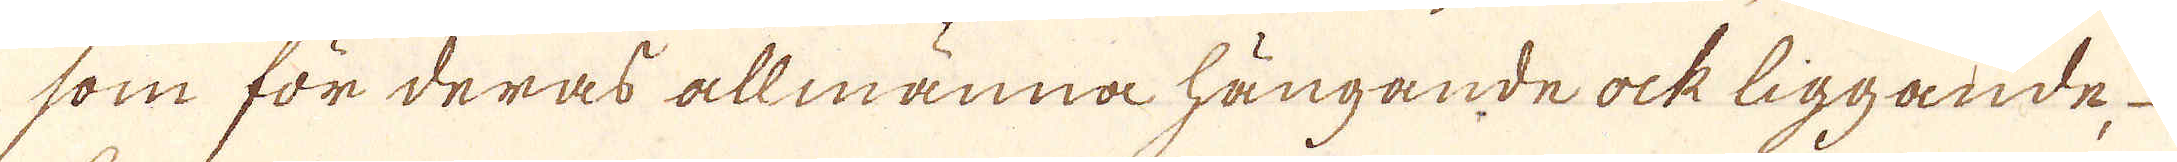som för deras allmänna hängande ock liggande,
